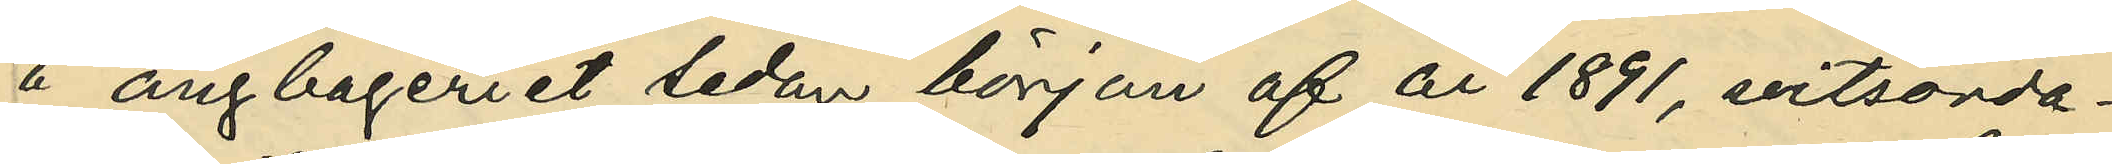å ångbageriet sedan början af år 1891, vitsorda¬
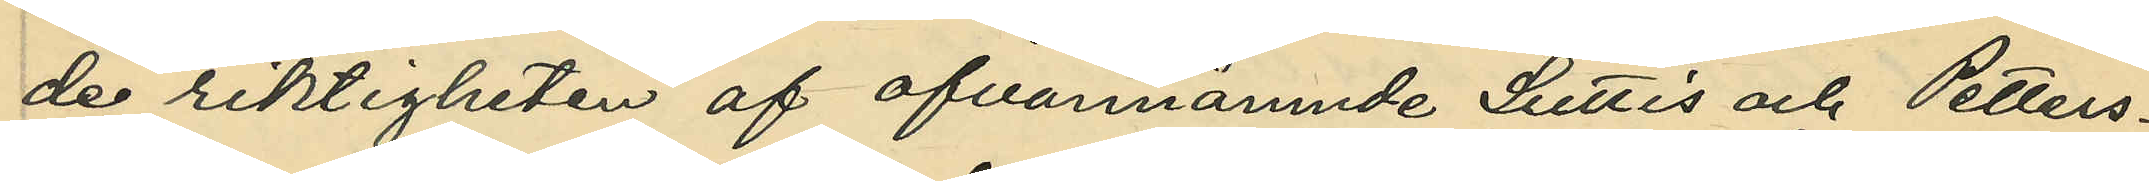de riktigheten af ofvannämnde Luttis och Petters¬
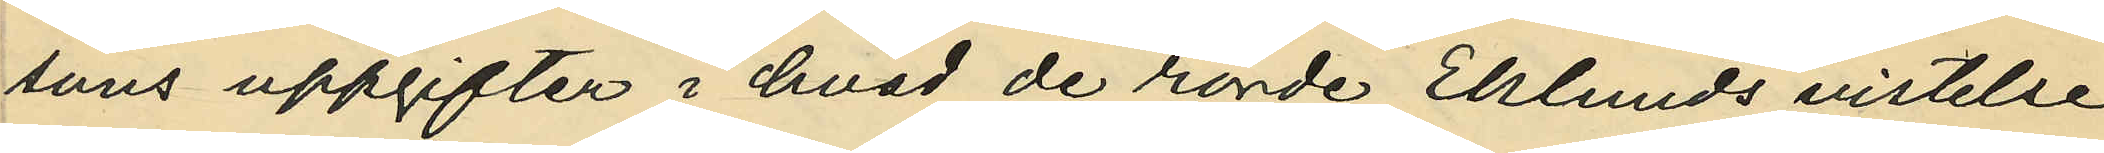sons uppgifter i hvad de rörde Eklunds vistelse
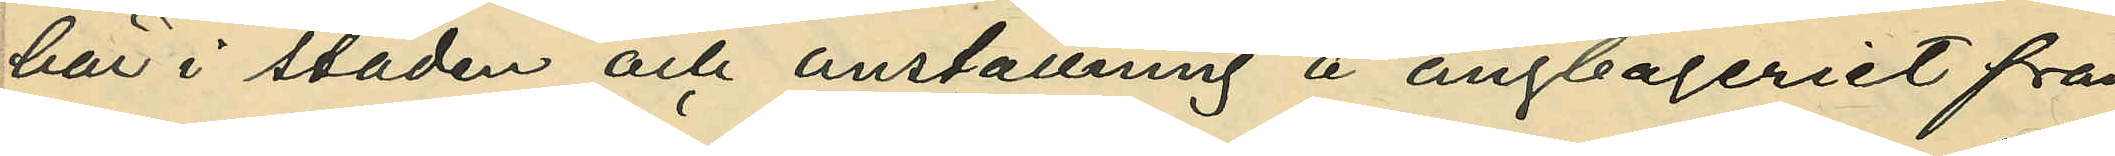här i staden och anställning å ångbageriet från
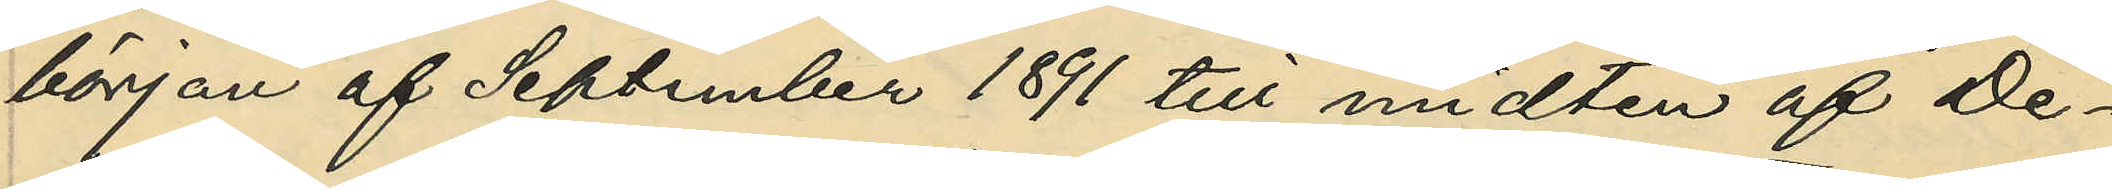början af September 1891 till midten af De¬
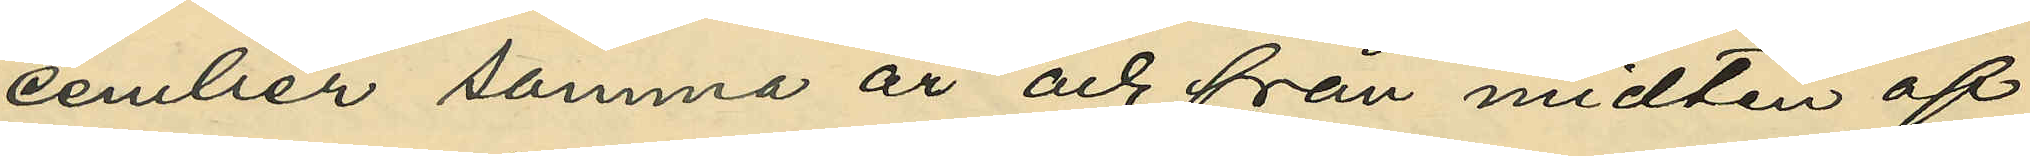cember samma år och från midten af
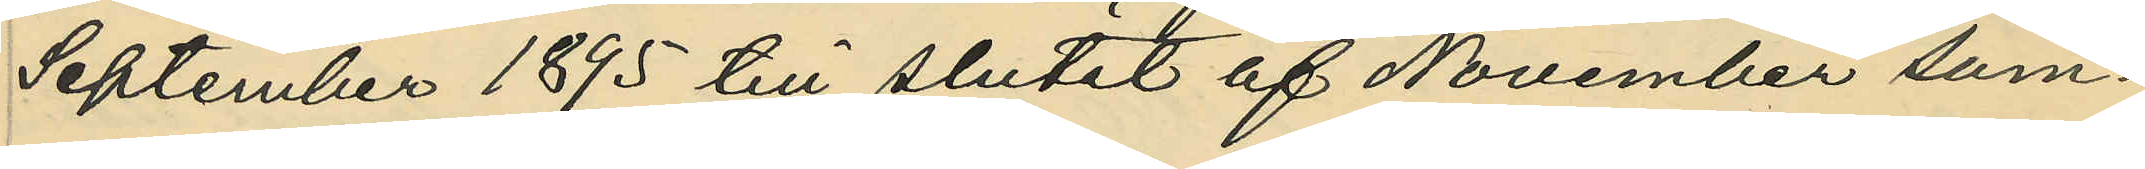September 1895 till slutet af November sam¬
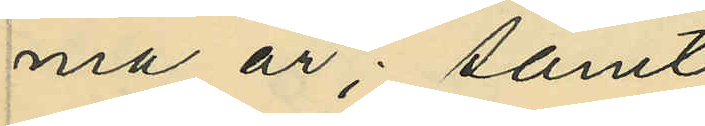ma år; samt
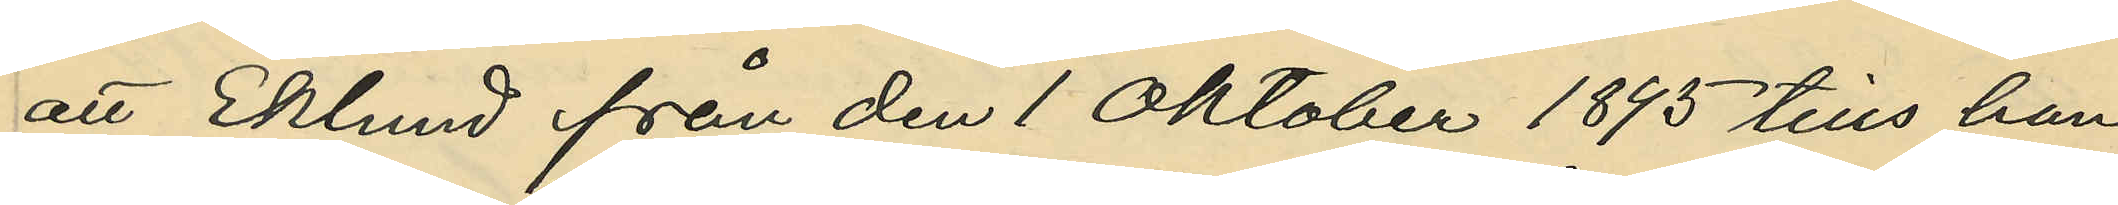att Eklund från den 1 Oktober 1895 tills han
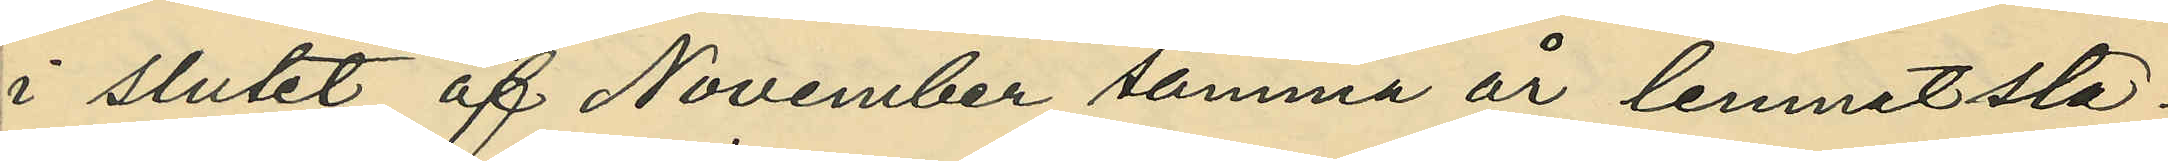i slutet af November samma år lemnat sta¬
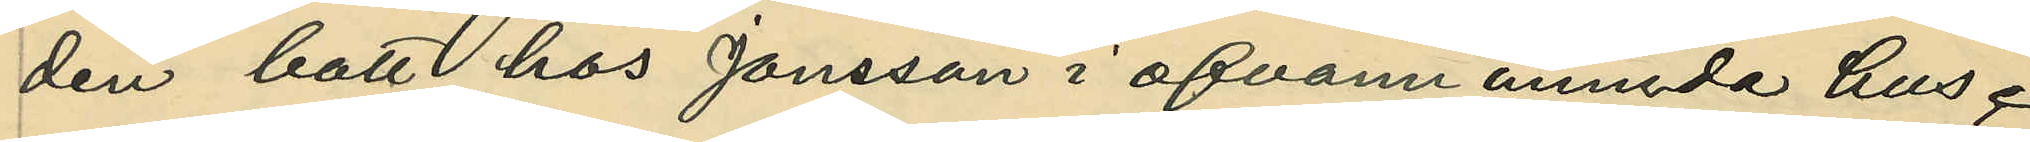den bott hos Jonsson i ofvannämnda hus.
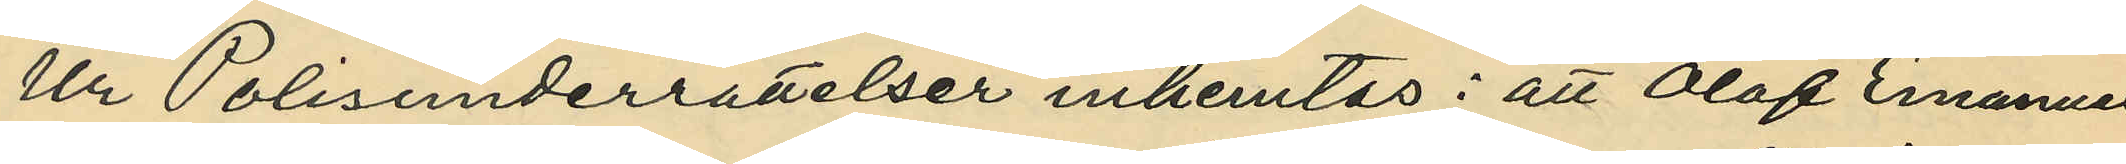Ur Polisunderrättelser inhemtas: att Olof Emanuel
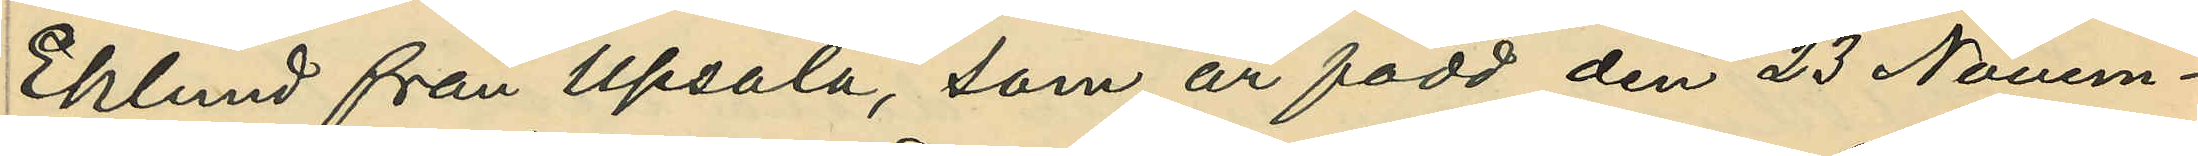Eklund från Upsala, som är född den 23 Novem¬
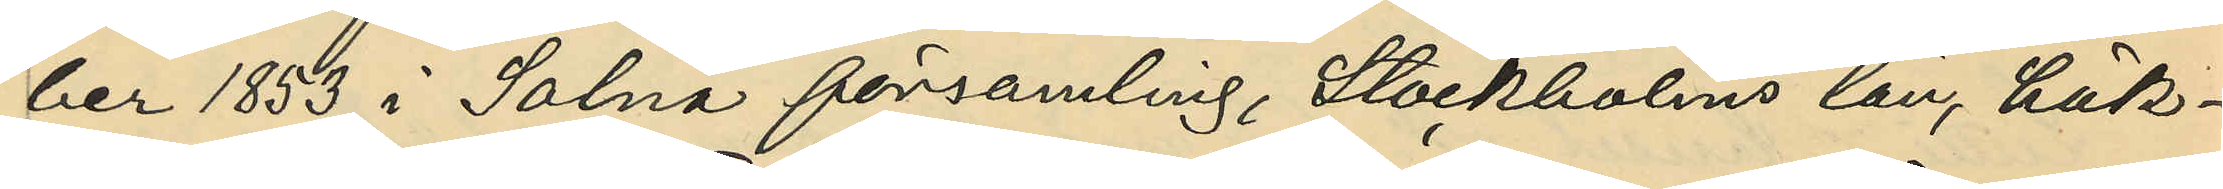ber 1853 i Solna församling, Stockholms län, häk¬
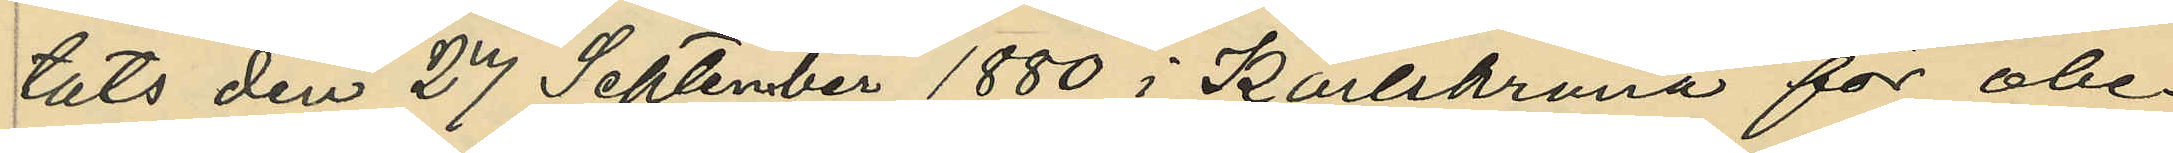tats den 27 September 1880 i Karlskrona för obe¬
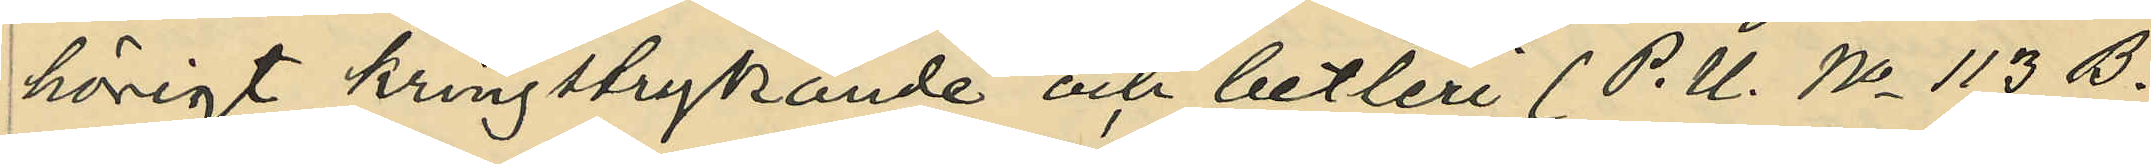hörigt kringstrykande och bettleri (P. U. No 113 B.
